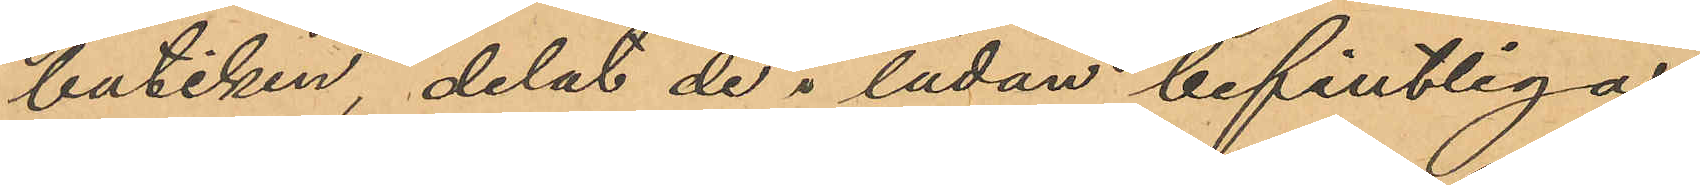butiken, delat de i lådan befintliga
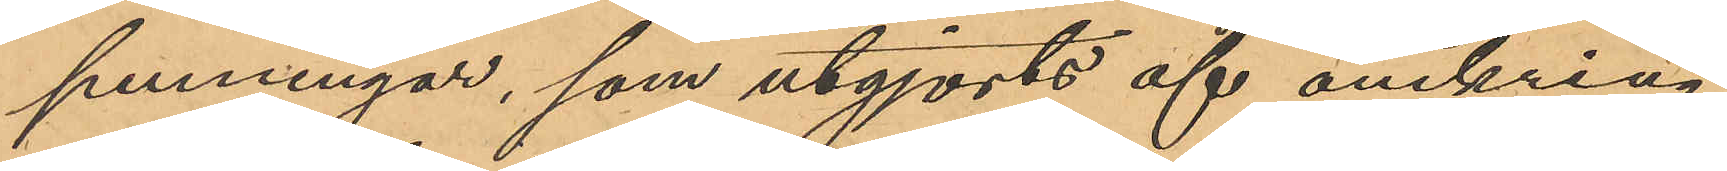penningar, som utgjorts af omkring
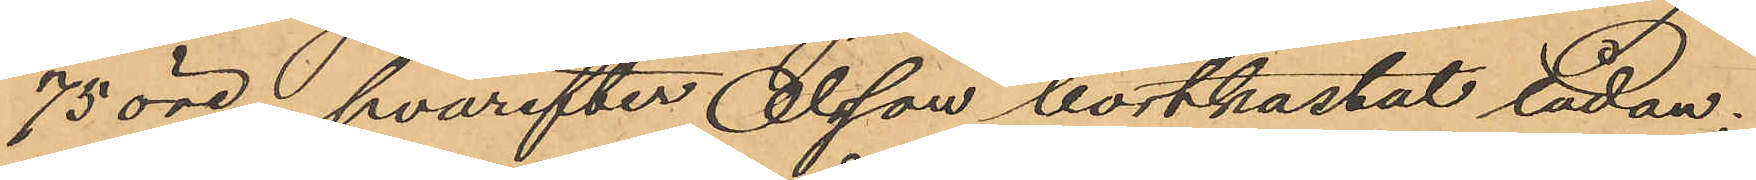75 öre, hvarefter Olsson bortkastat lådan;
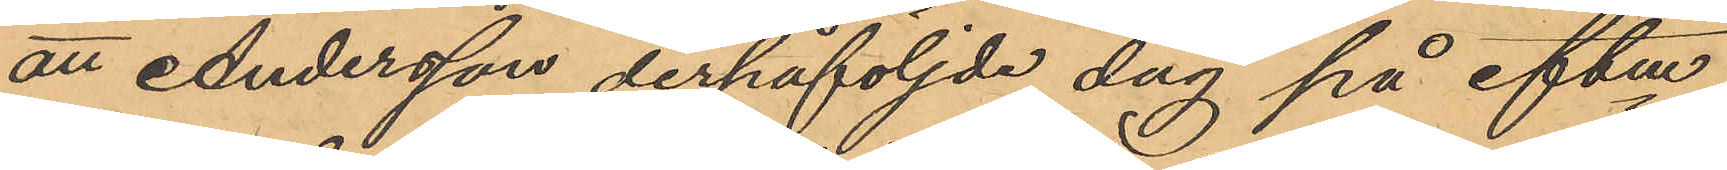att Andersson derpåföljde dag på eftm
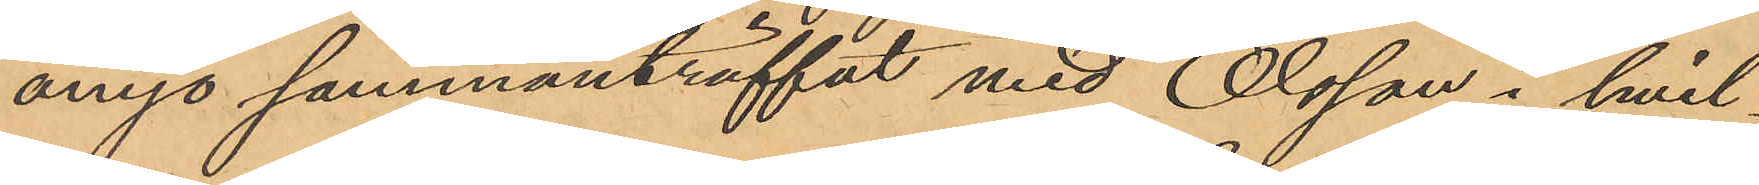ånyo sammanträffat med Olsson i hvil¬
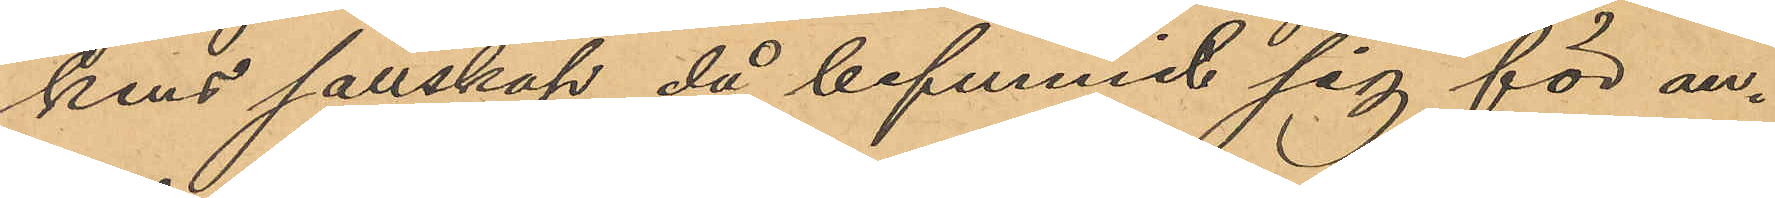kens sällskap, då befunnit sig för an¬
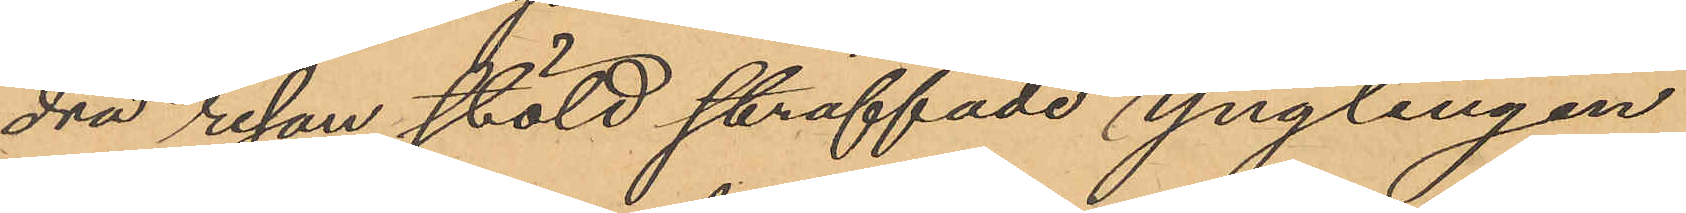dra resan stöld straffade ynglingen
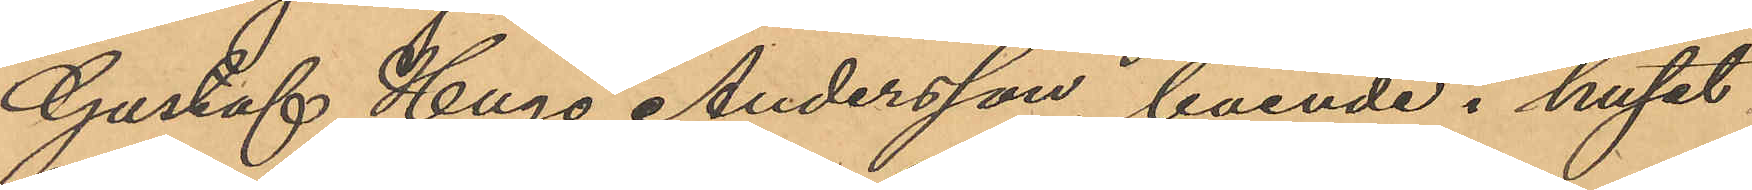Gustaf Hugo Andersson, boende i huset
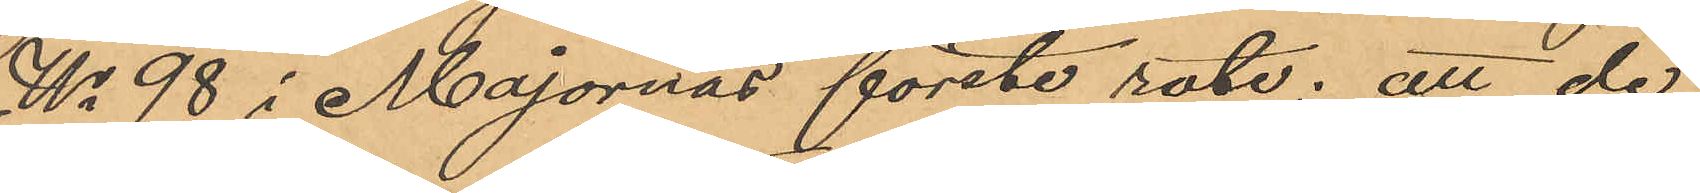No 98 i Majornas förste rote; att de
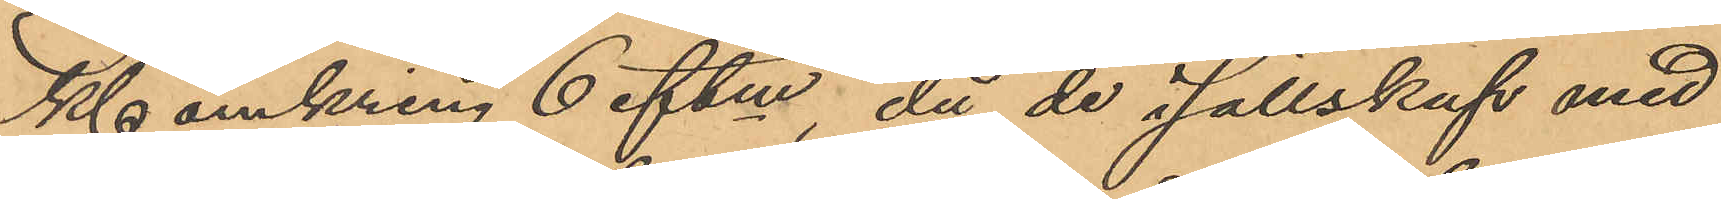Kl omkring 6 eftm, då de i sällskap med
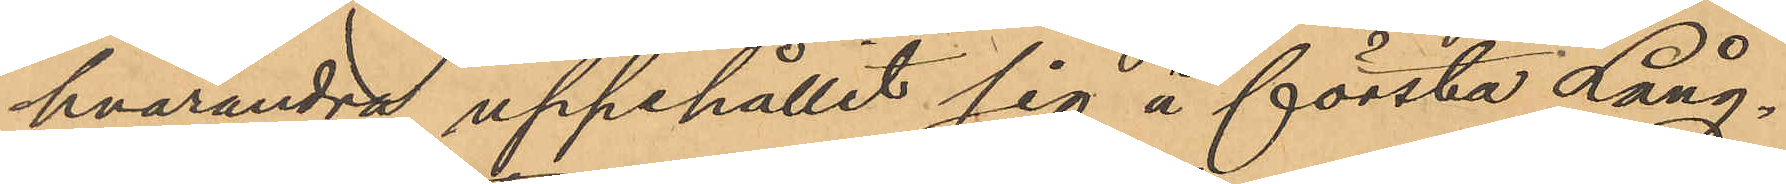hvarandra uppehållit sig å första Lång¬
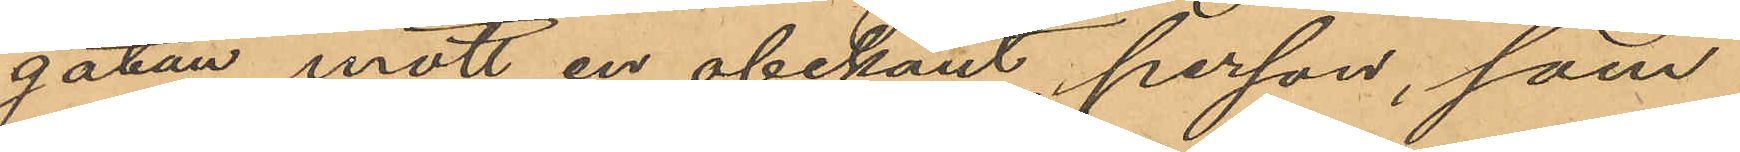gatan mött en obekant person, som
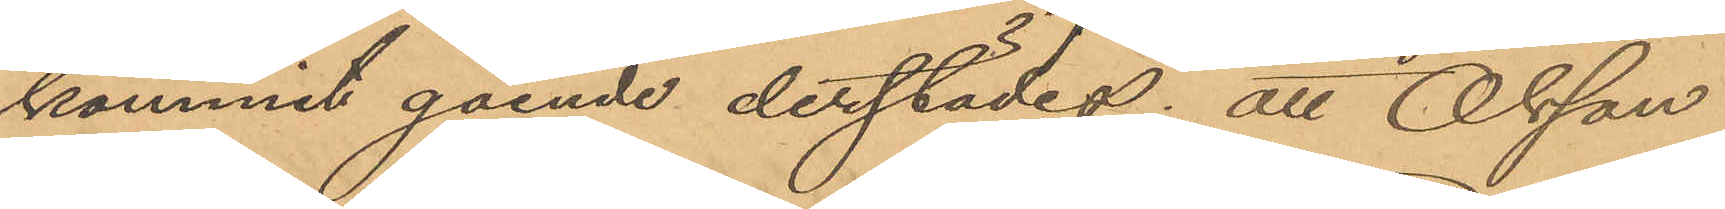kommit gående derstädes; att Olsson
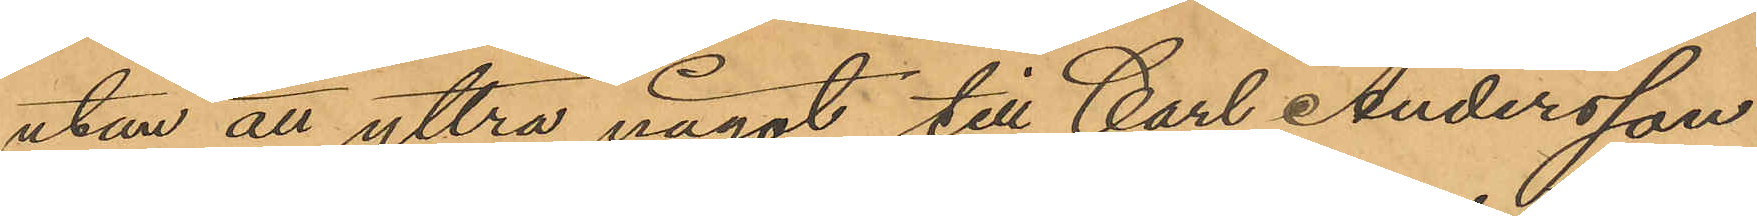utan att yttra något till Carl Andersson
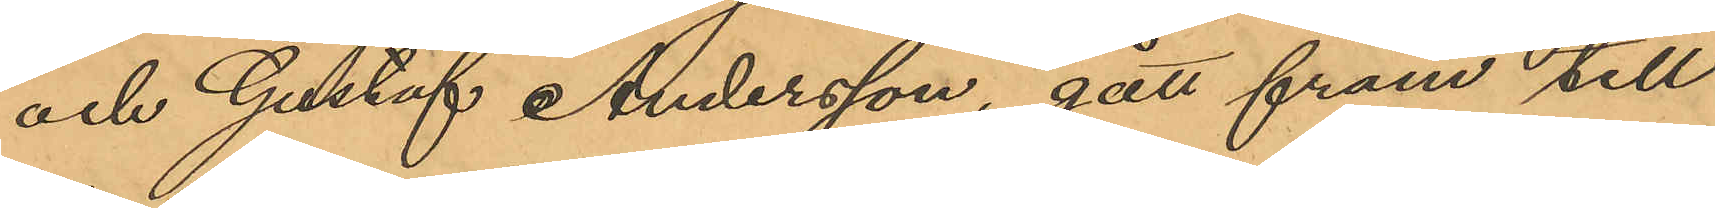och Gustaf Andersson, gått fram till
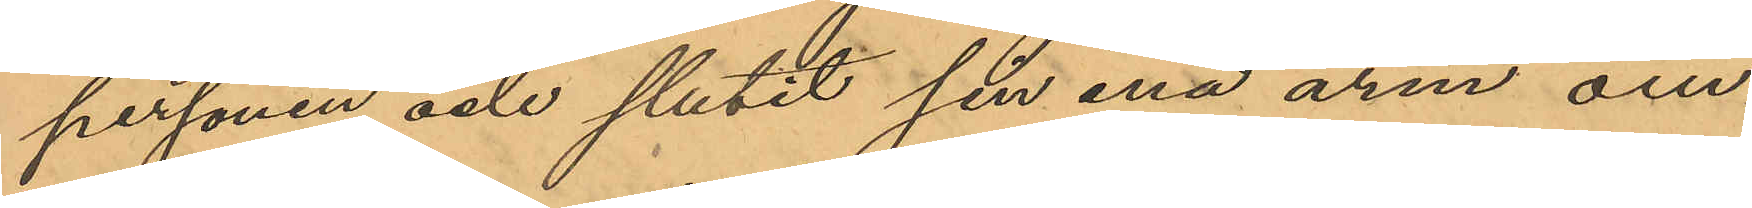personen och slutit sin ena arm om¬
